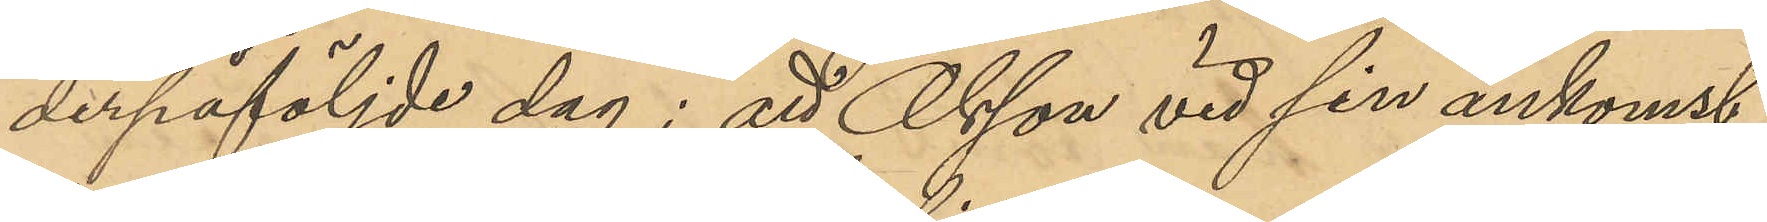derpåföljde dag; att Olsson vid sin ankomst
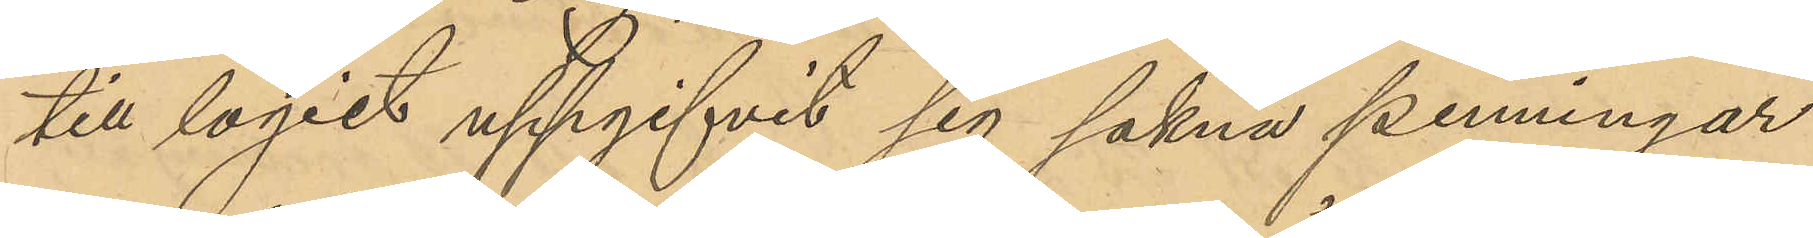till logiet uppgifvit sig sakna penningar
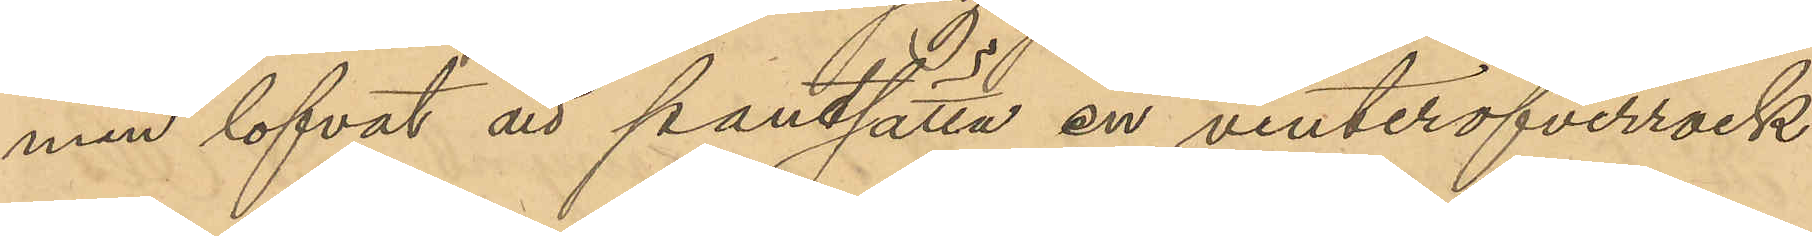men lofvat att pantsätta en vinteröfverrock
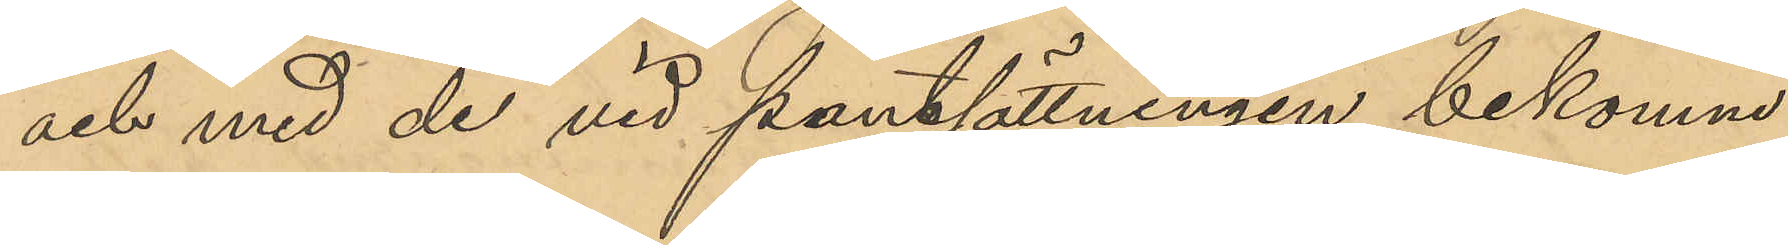och med de vid pantsättningen bekomne
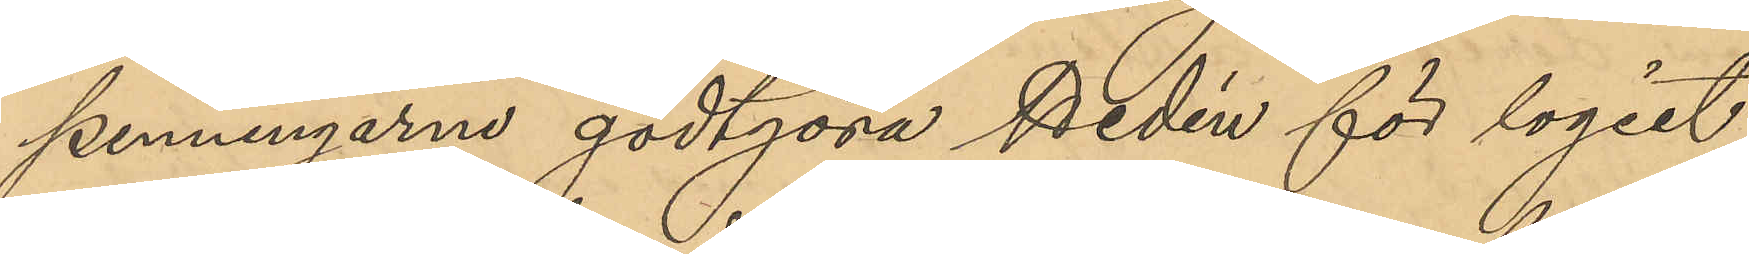penningarne godtgöra Hedén för logiet;
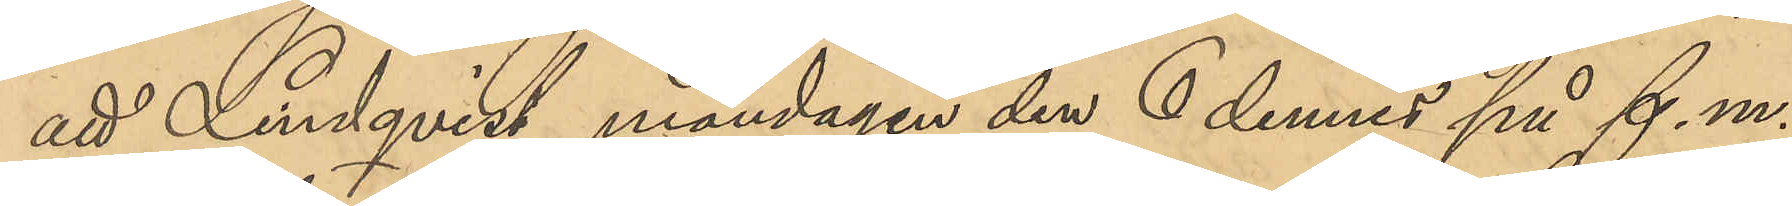att Lindqvist måndagen den 6 dennes på f. m.
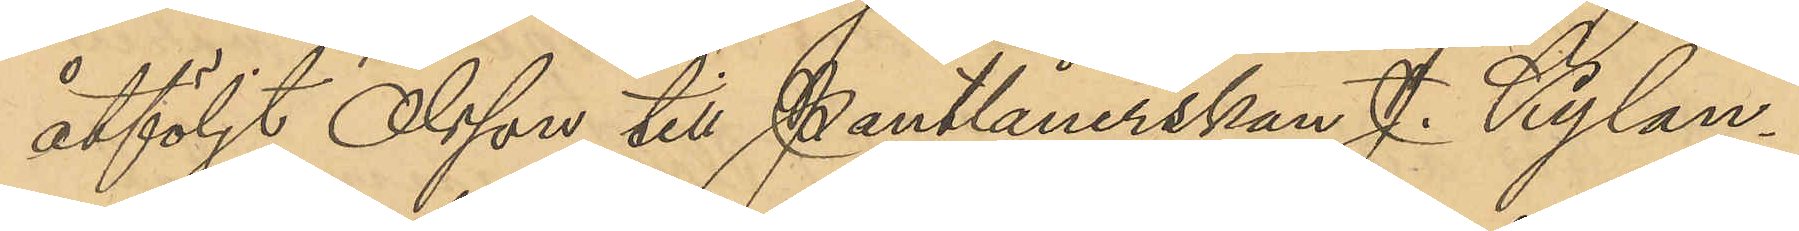åtföljt Olsson till Pantlånerskan J. Kylan¬
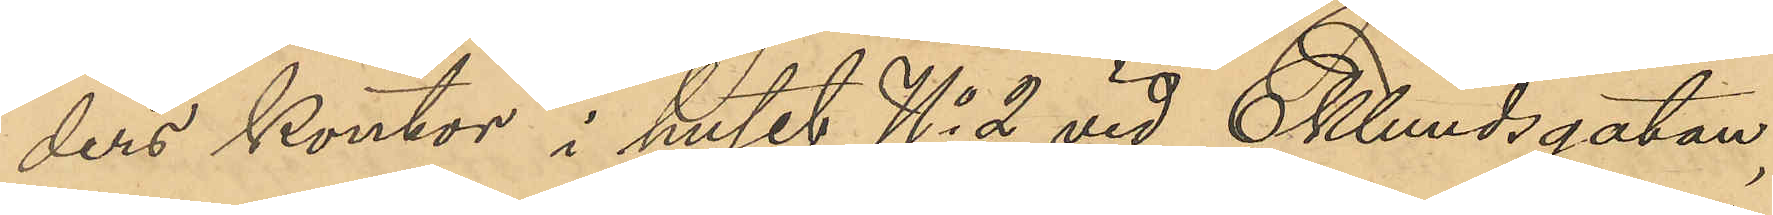ders kontor i huset No vid Eklundsgatan,
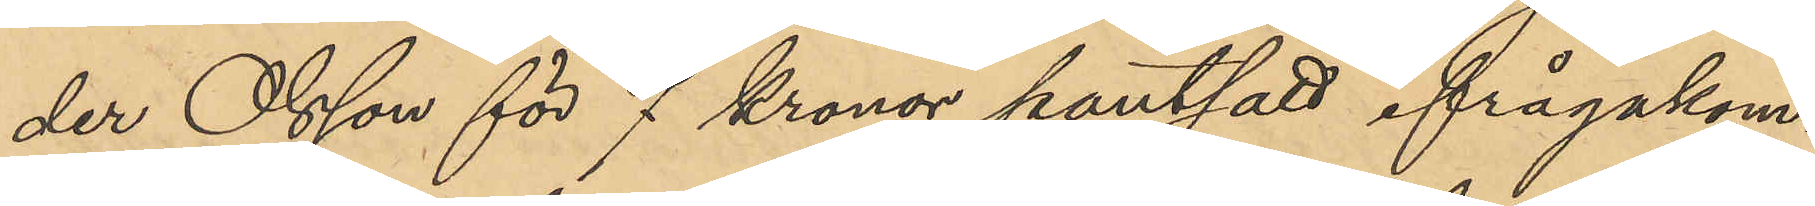der Olsson för 7 kronor pantsatt ifrågakom¬
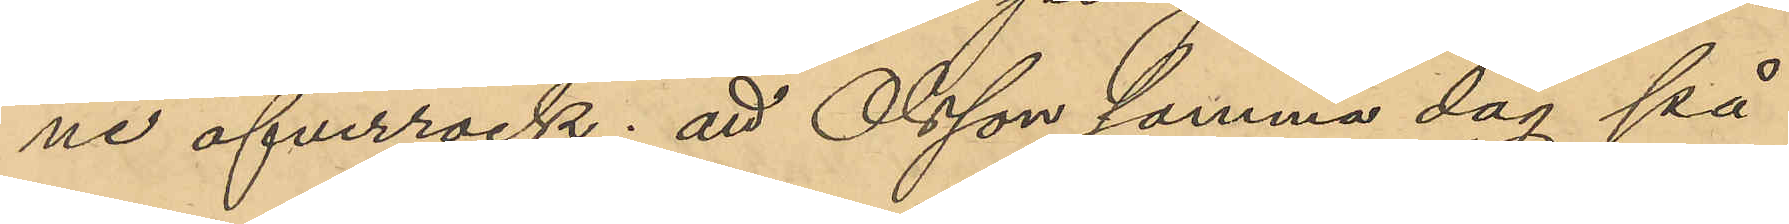ne öfverrock; att Olsson samma dag på
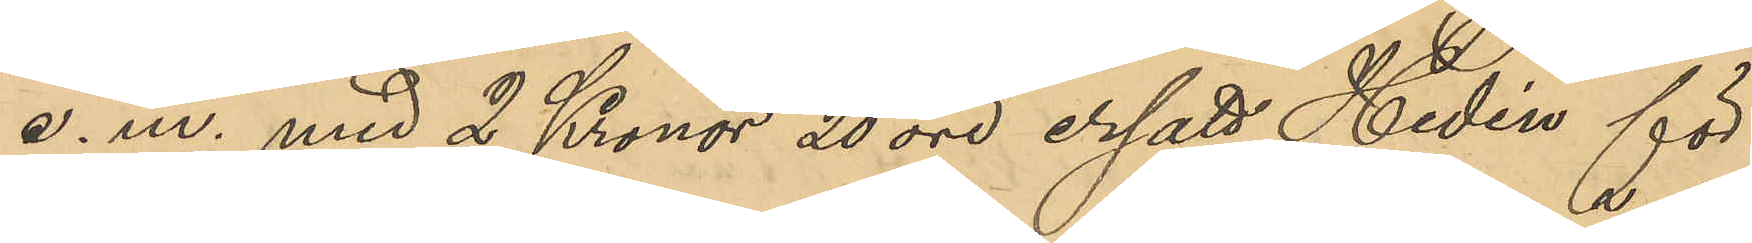e. m. med 2 Kronor 20 öre ersatt Hedén för
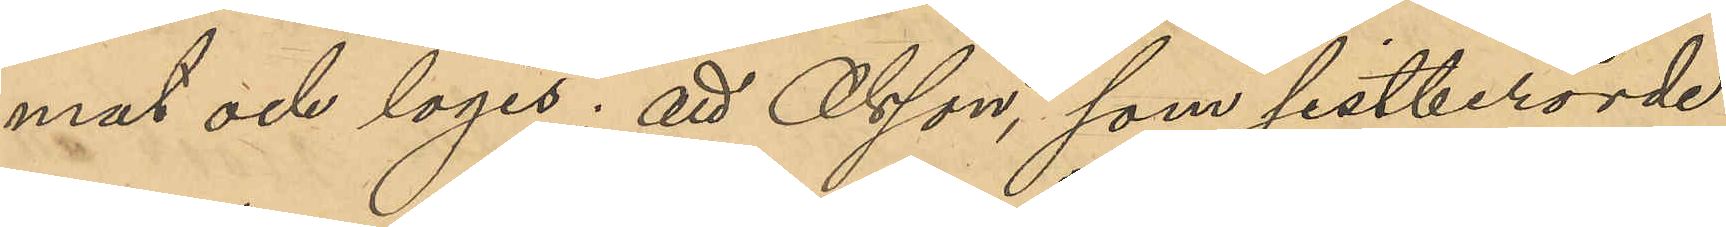mat och logis; att Olsson, som sistberörde
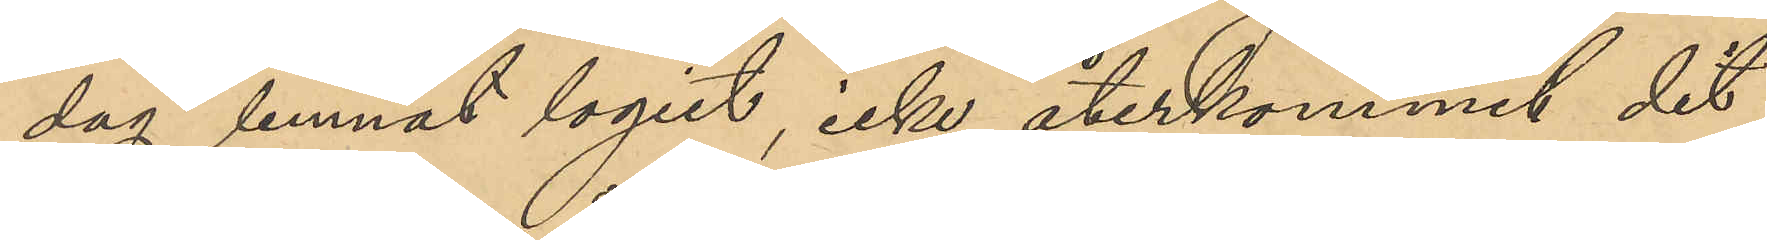dag lemnat logiet, icke återkommit dit
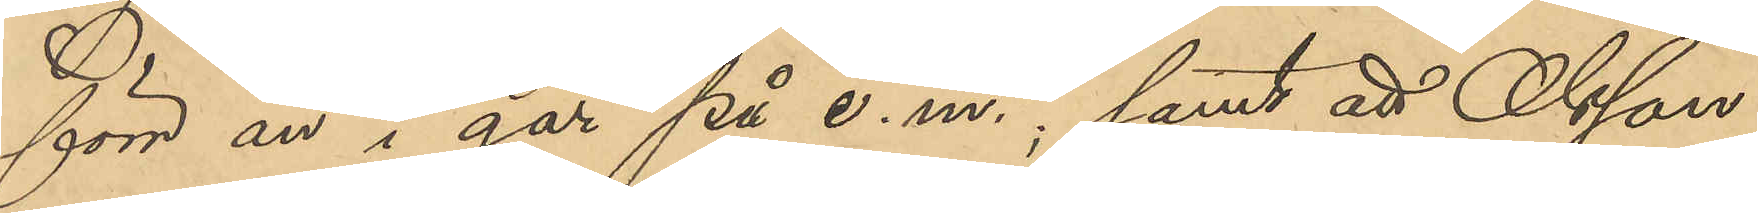förr än i går på e. m. ; samt att Olsson
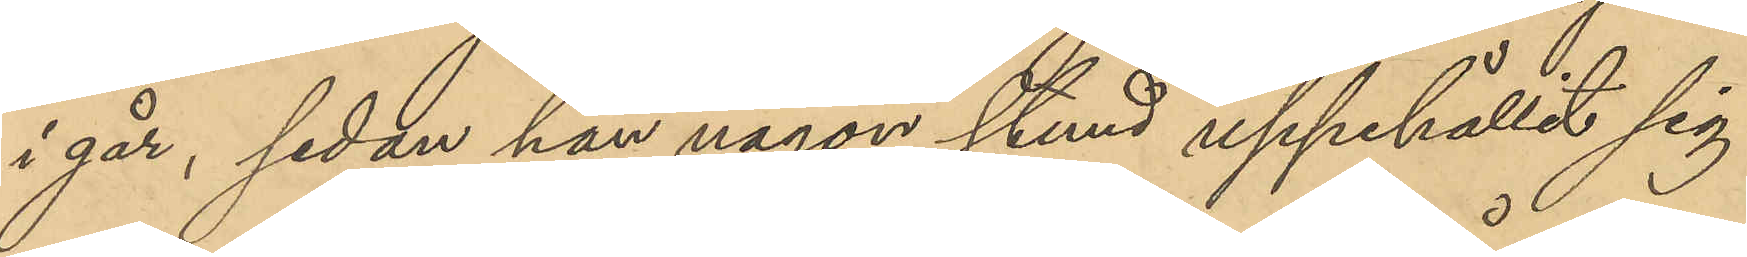i går, sedan han någon stund uppehållit sig
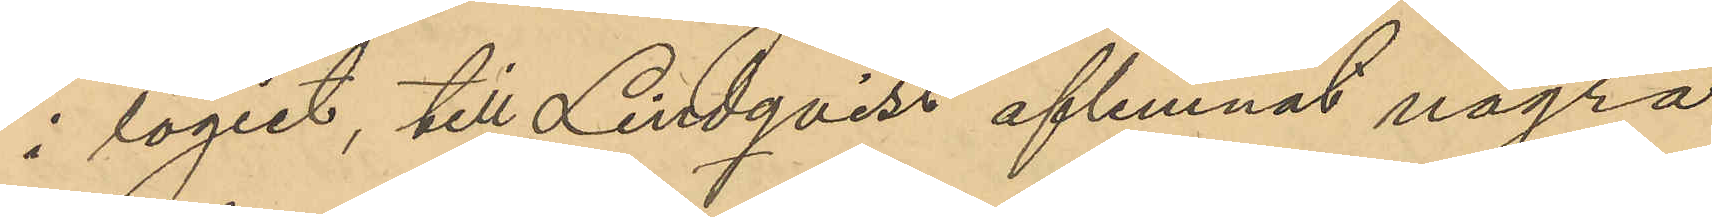i logiet, till Lindqvist aflemnat några
